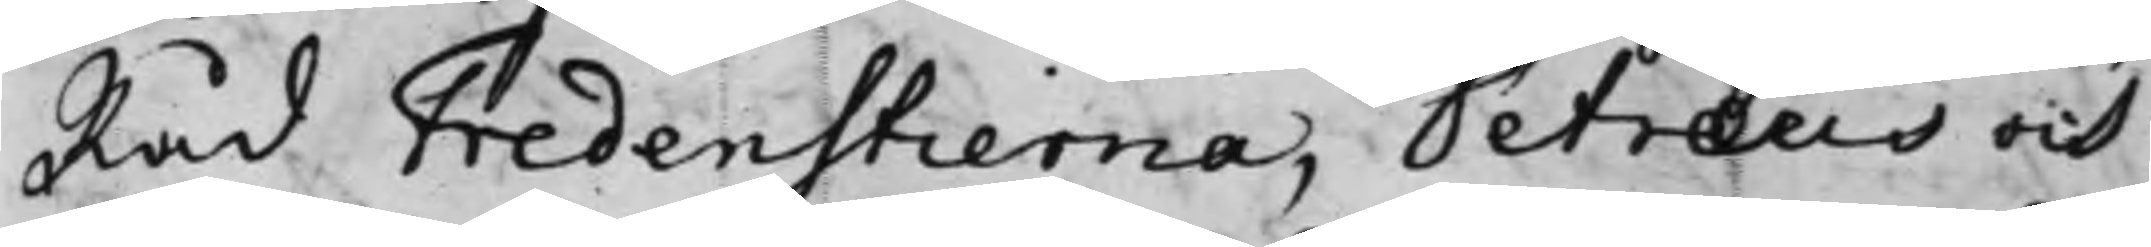Råd Fredenstierna, Petræus och
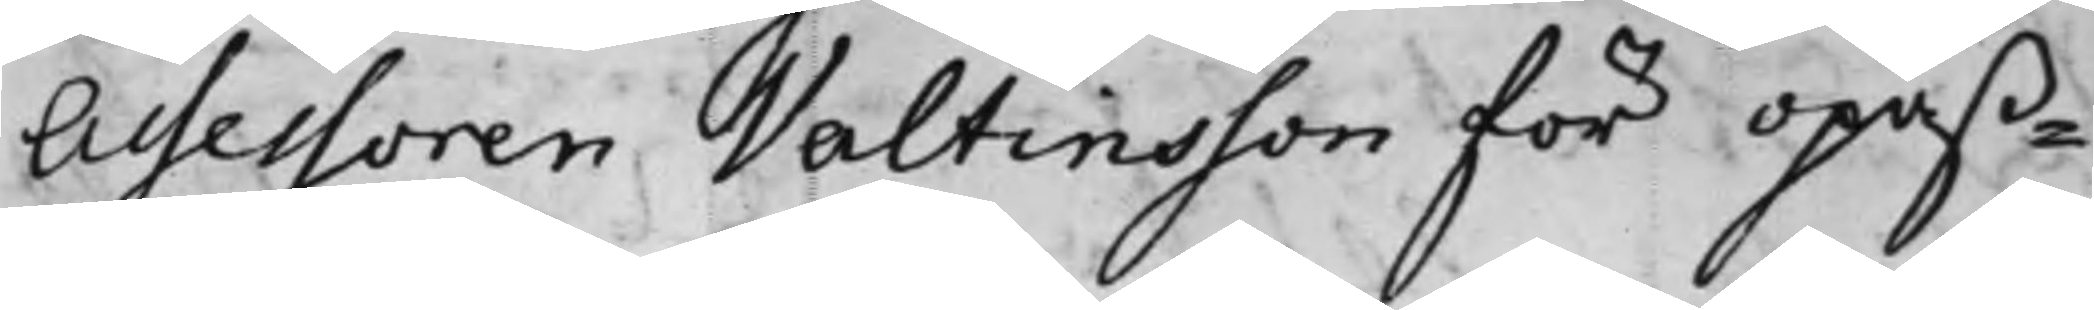Assessoren Valtinsson för opäß¬
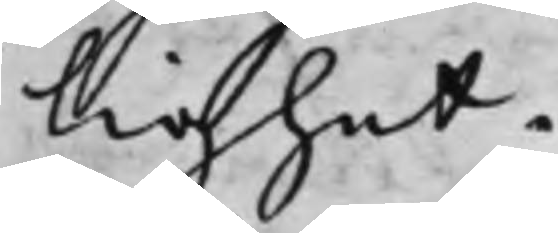lighet.
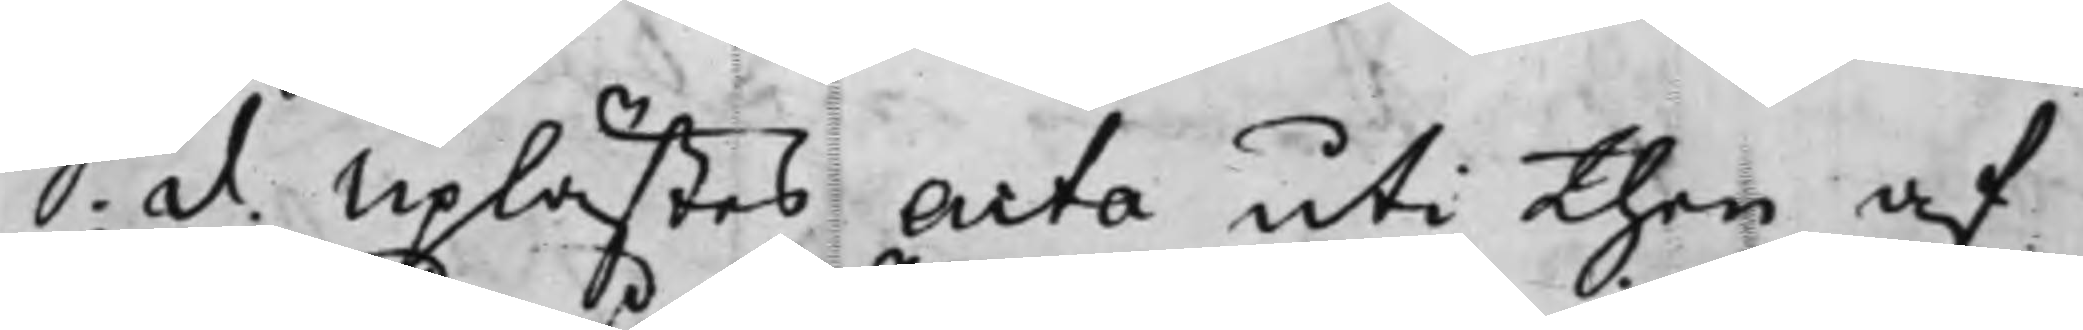S. d. Uplästes Acta uti then af
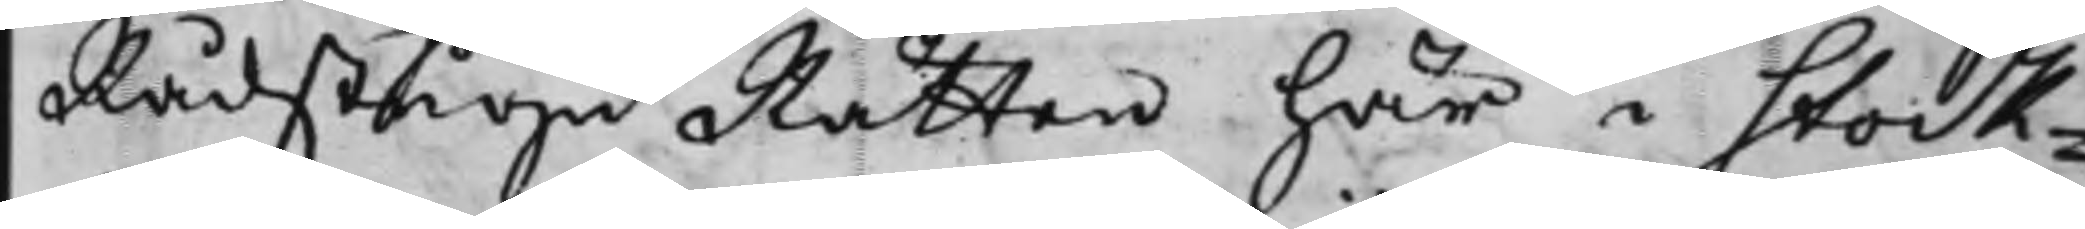RådstuguRätten här i Stock¬
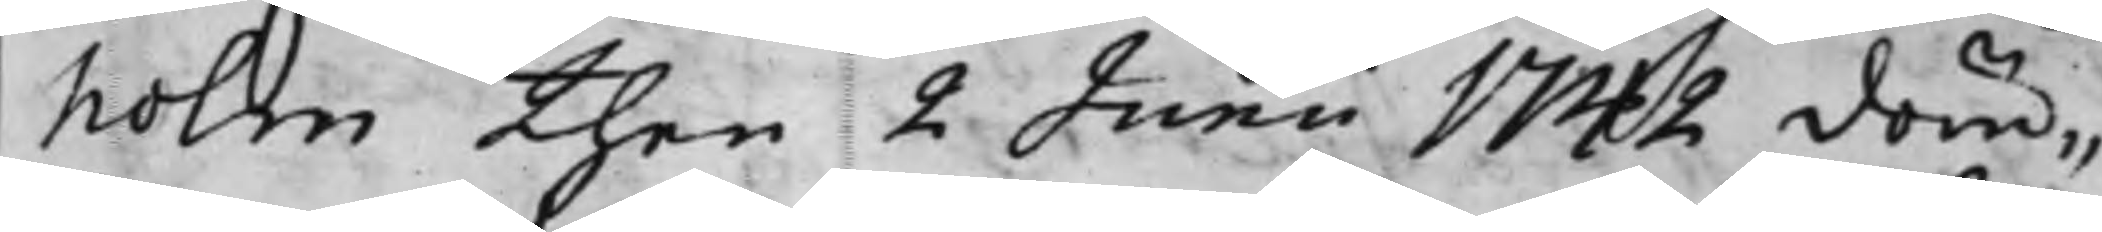holm then 2 Junii 1742 döm¬
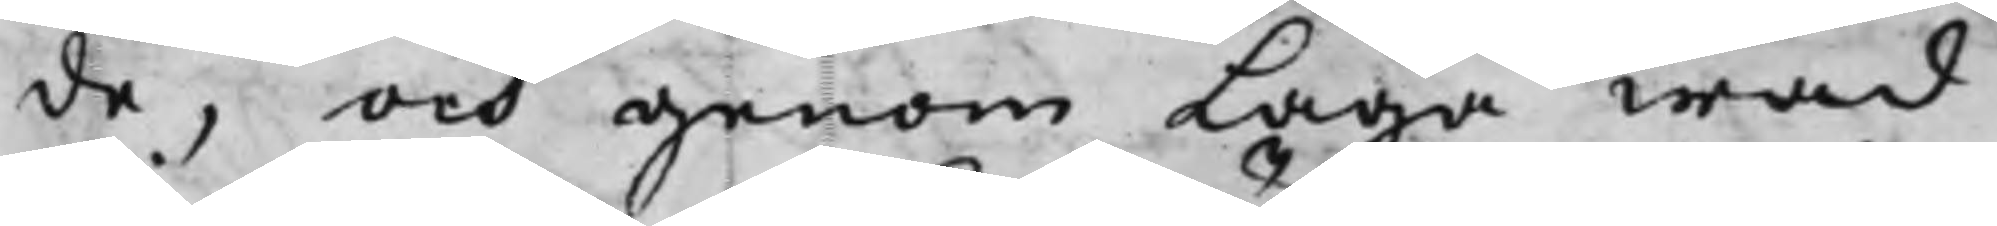de, och genom Laga wad
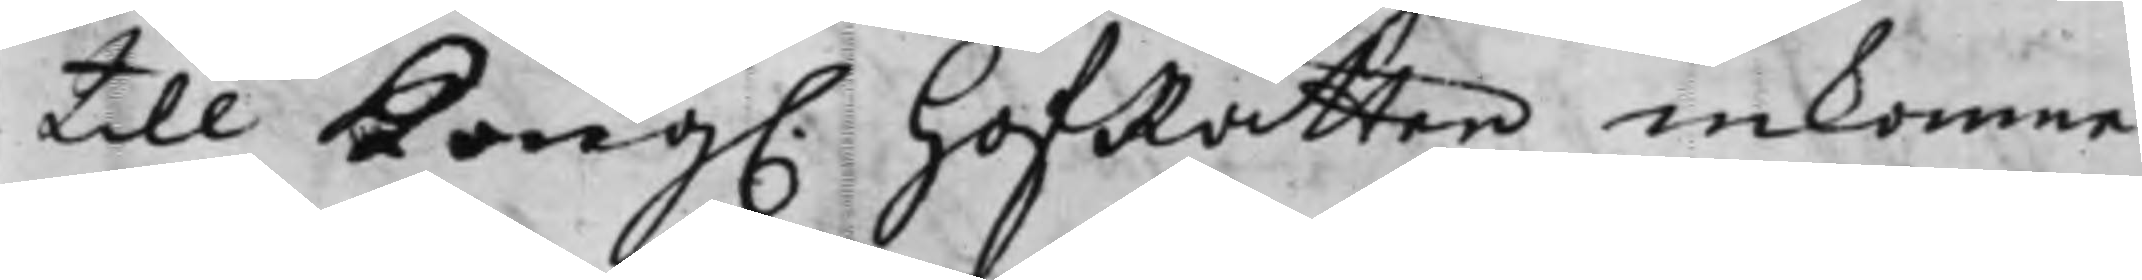till Kong. HofRätten inkomne
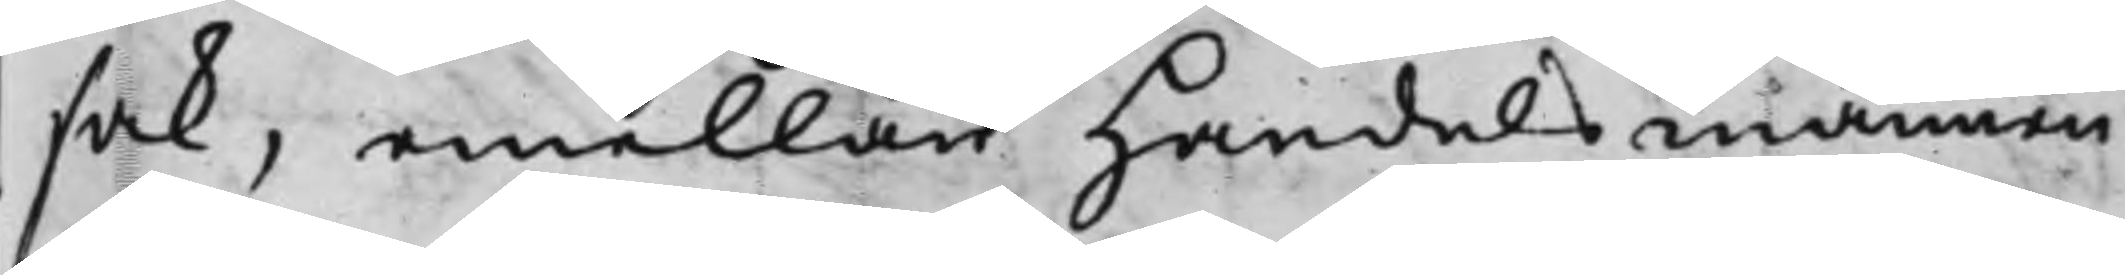sak, emellan Handelsmannen
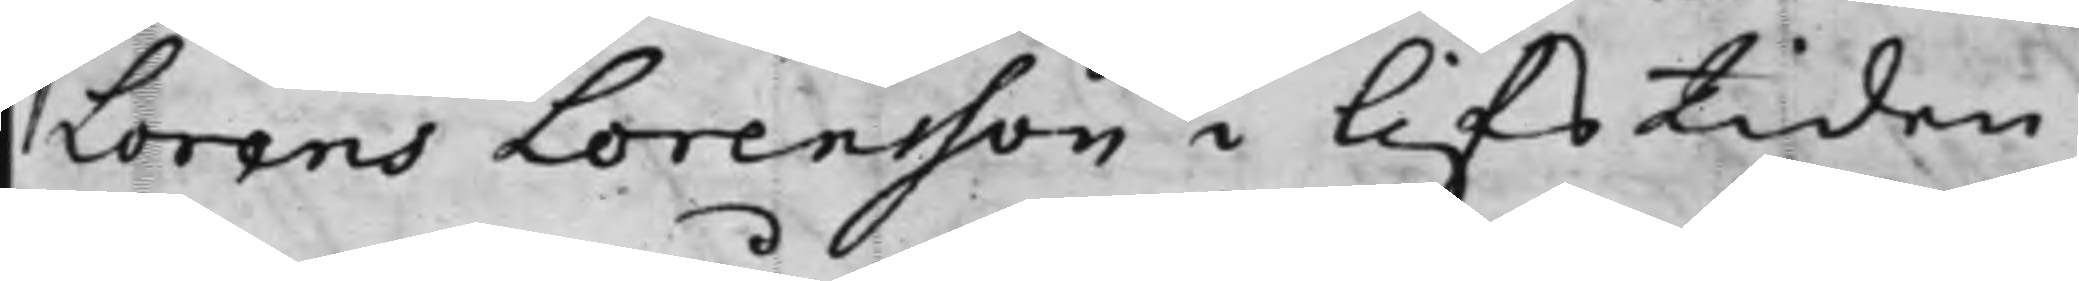Lorens Lorensson i lifstiden
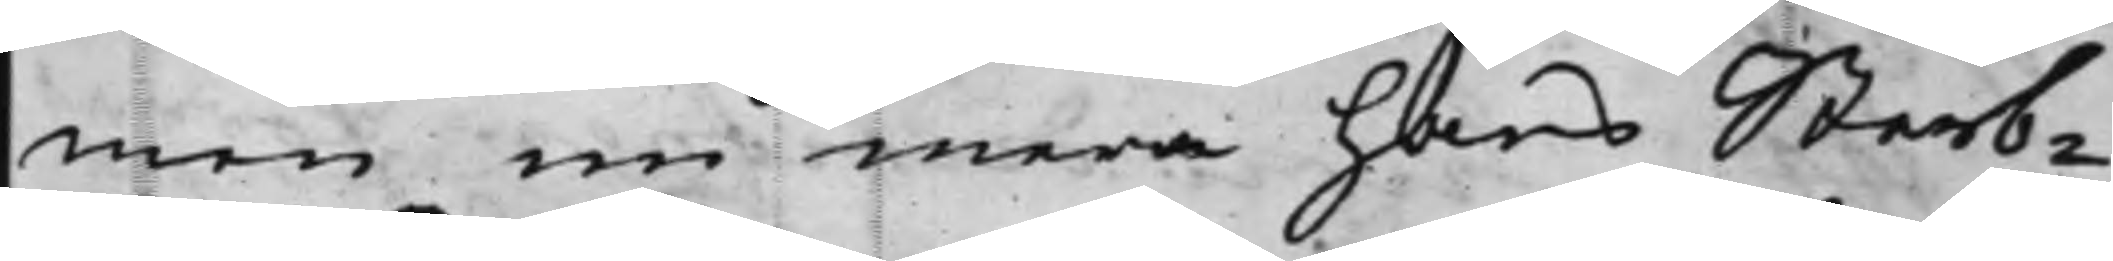men nu mera hans Sterb¬
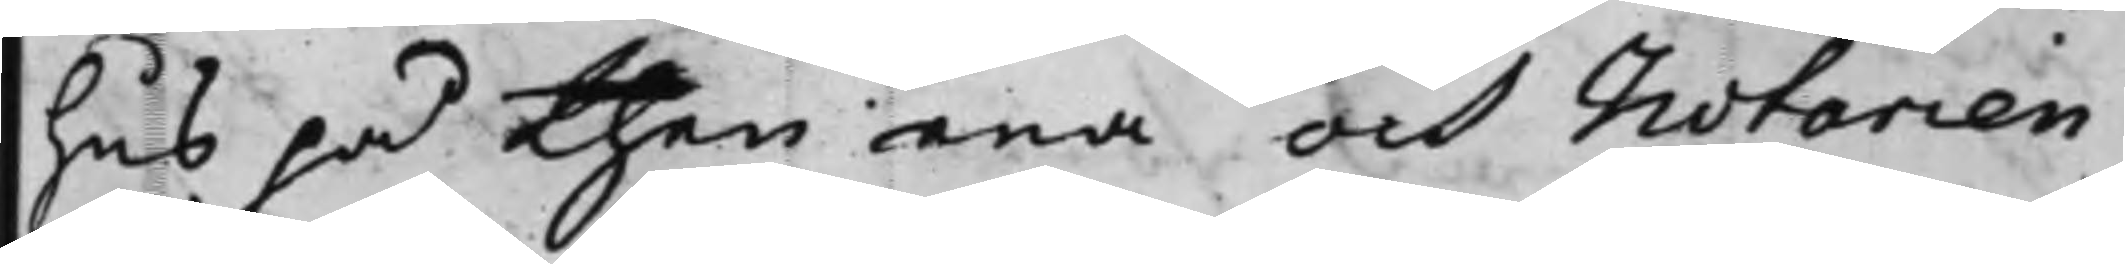hus på then ena och Notarien
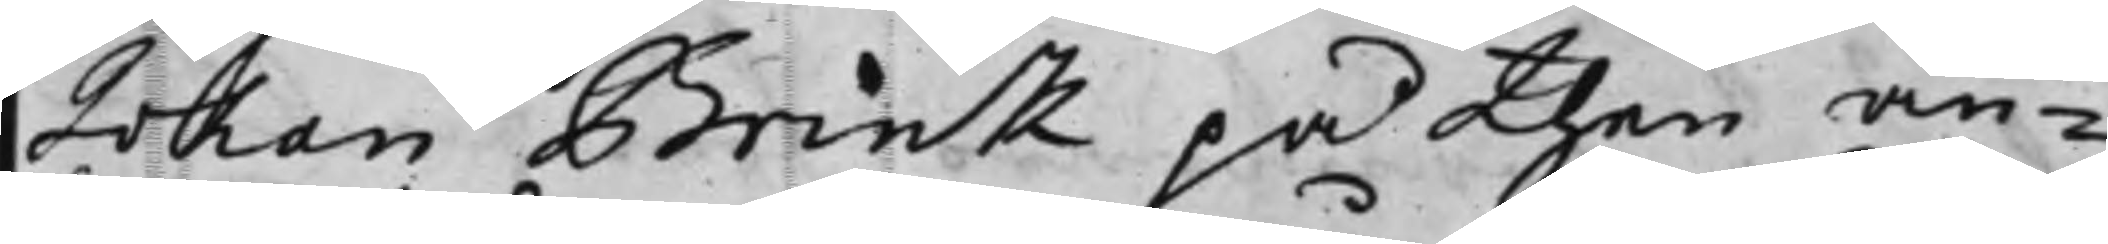Johan Brink på then an¬
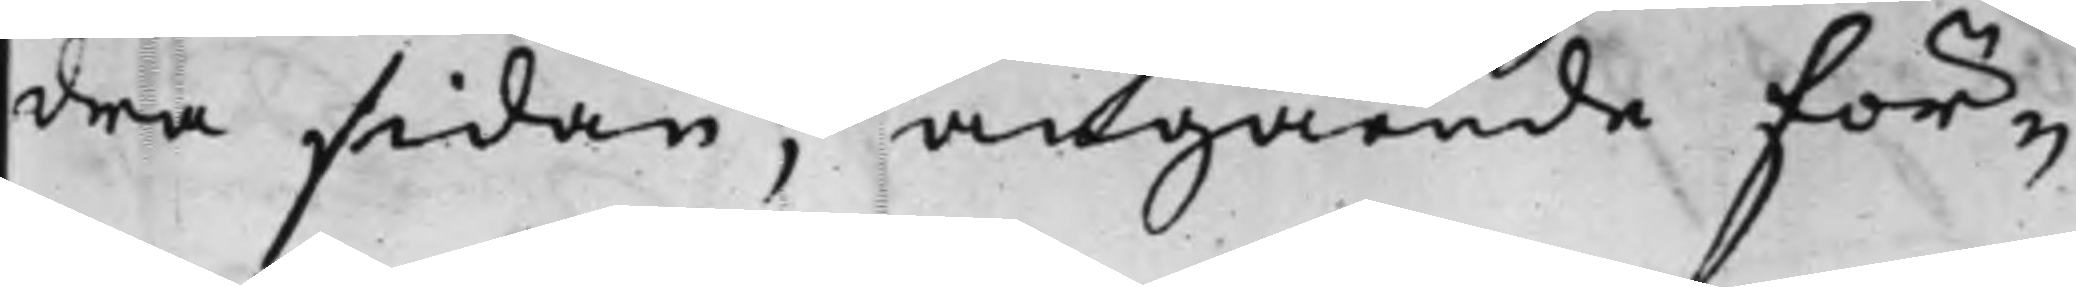dra sidan. angående för¬
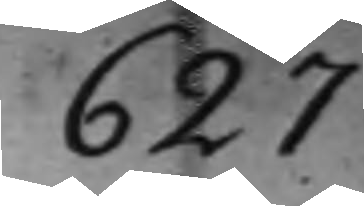627
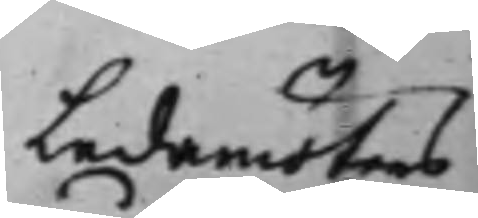Ledamöters
